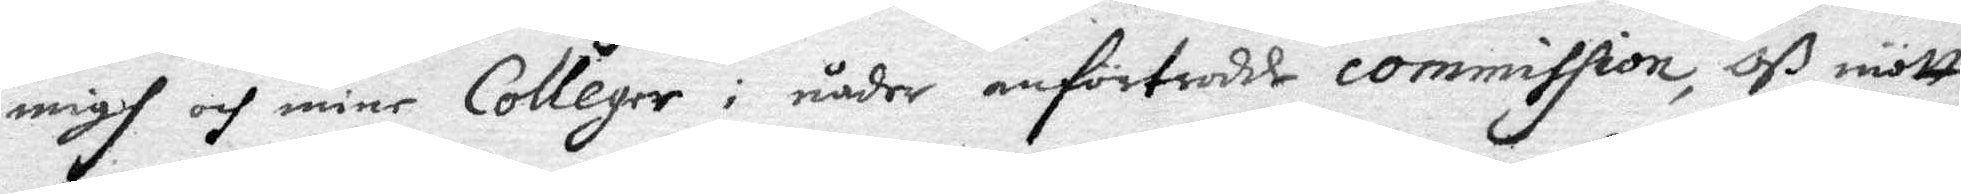migh och mine Colleger i nåder anförtrodde commission, Oß mött
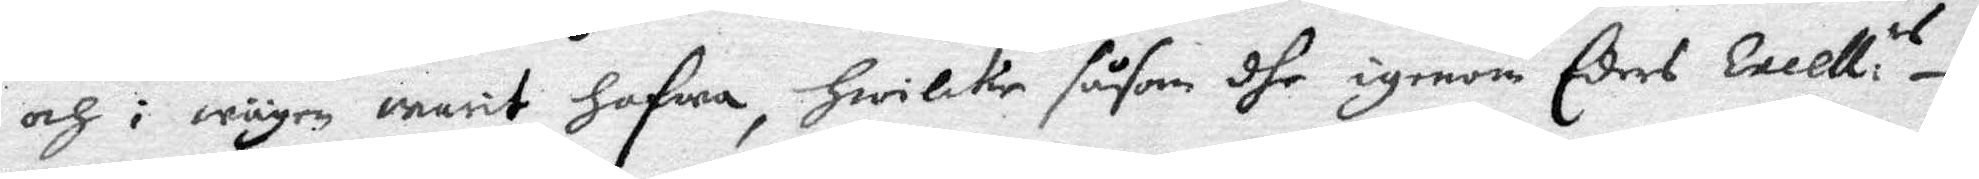och i wägen warit hafwa, hwilke såsom dhe igenom Eders Excell:es
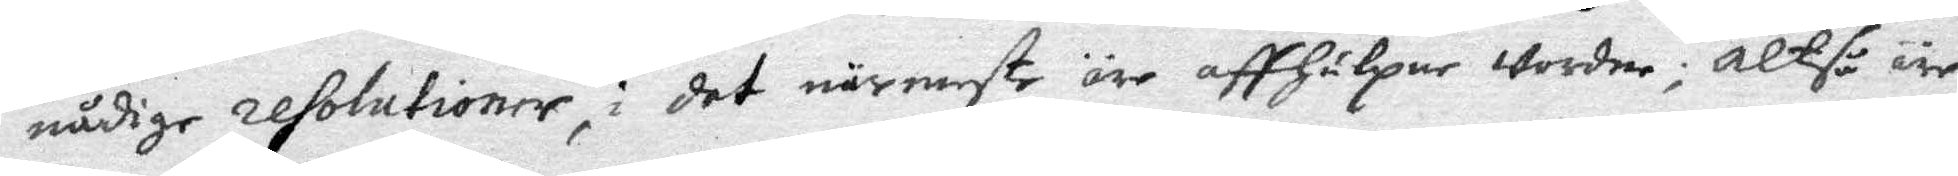nådige resolutioner, i det närmaste äre affhulpne Wordne; altså äre
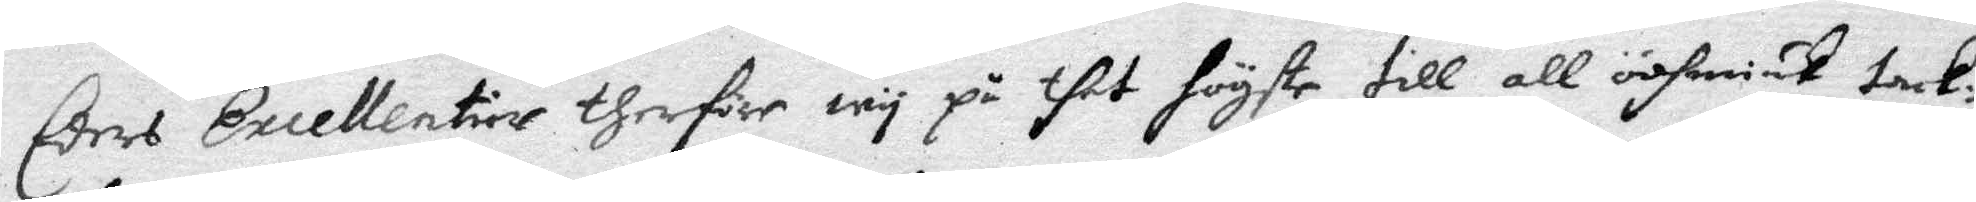Eders Excellentier therföre wy på thet högste till all ödhmiuk tack¬
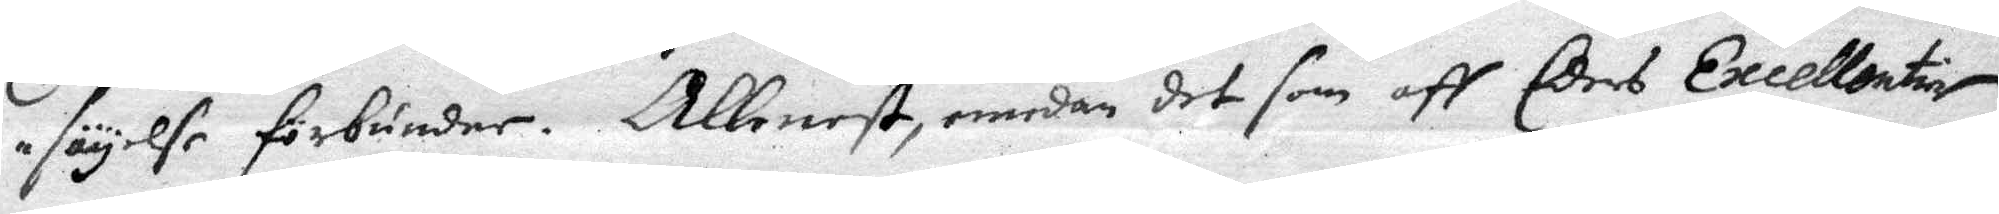säyelse förbunder. Allenast, emedan det som aff Edes Excellentier
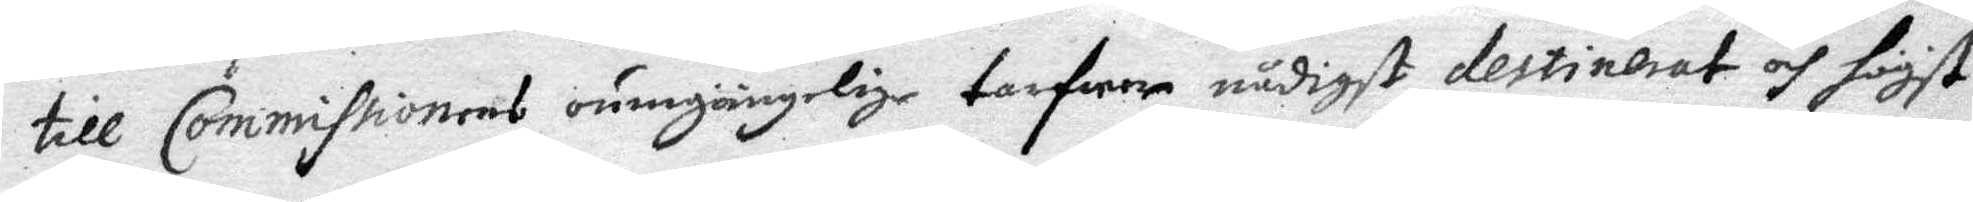till Commissionens oumgörlige tarfwar nådigst destinerat och högst
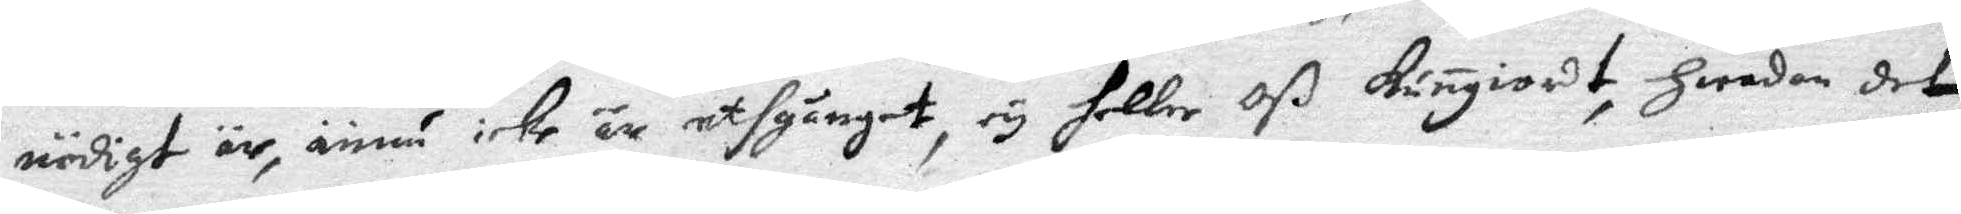nödigt är, ännu icke är uthgånget, ey heller oß kungiordt, hwadan det
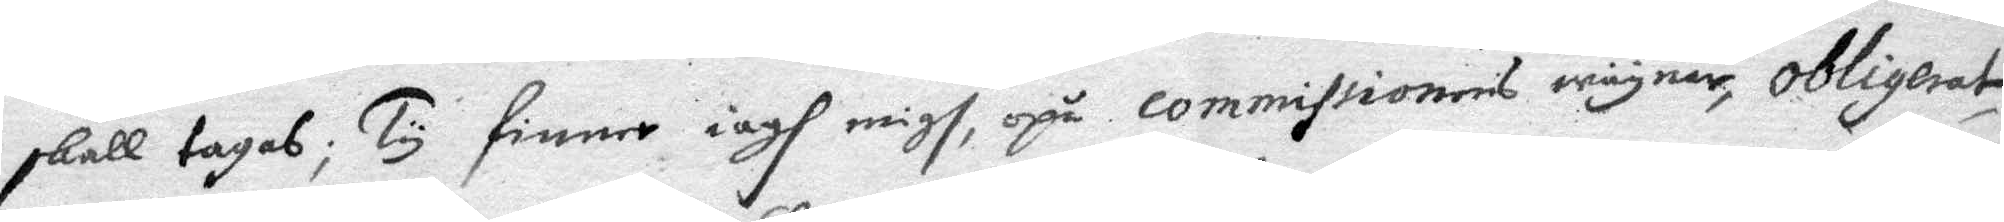skall tagas; Ty finner iagh migh, opå commissionens wäyner, obligerat
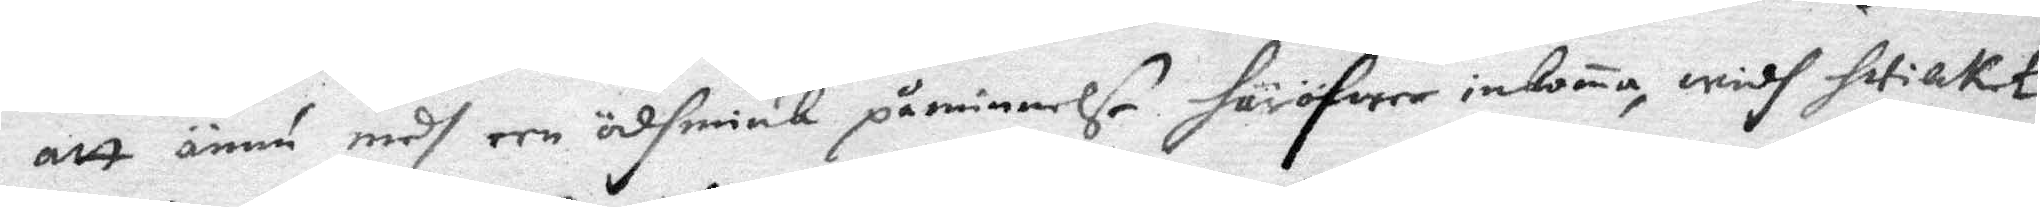att ännu medh een ödhmiuk påminnelse häröfwer inkoma, widh hwilket
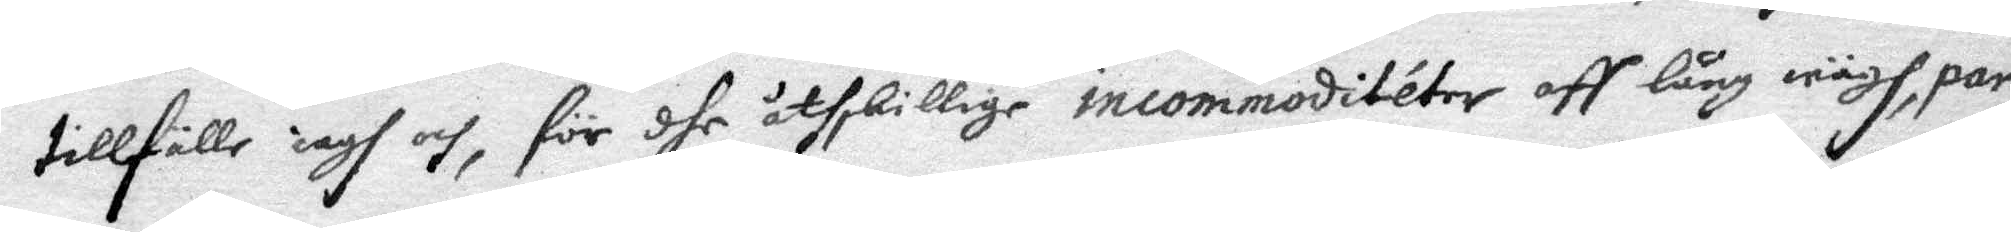tillfälle iagh och, för dhe åtskillige incommoditeter aff lång wägh, par¬
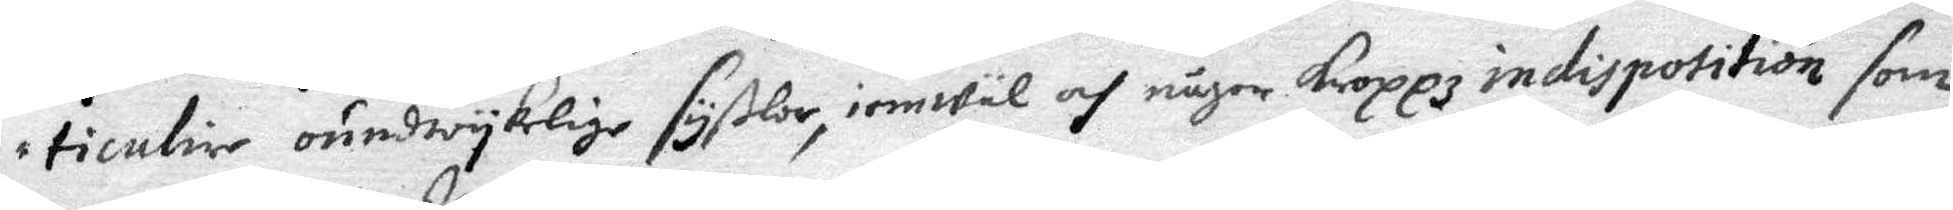ticulier oundwyklige syßlor, iemwäl och någor kroppzindisposition som
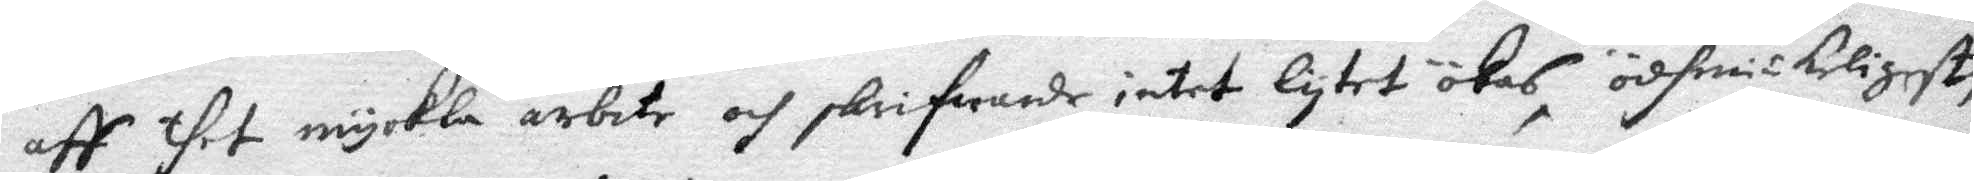aff thet myckla arbete och skrifwande intet lytet ökas, ödhmiukeligest,
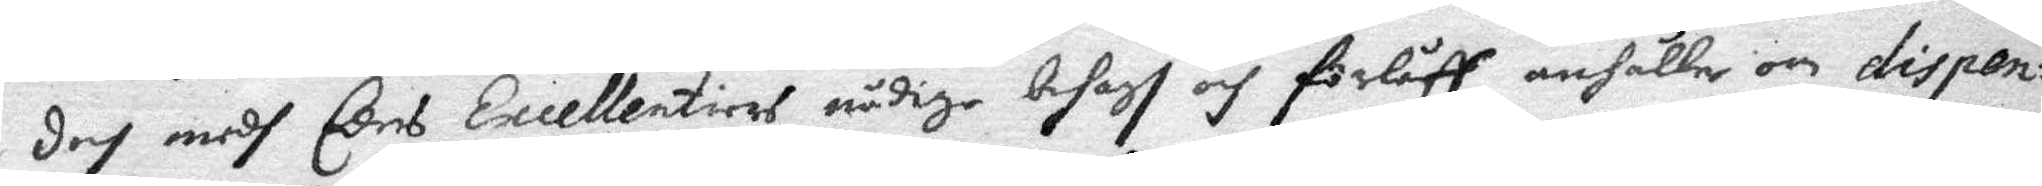doch medh Eders Excellentiers nådige behagh och förlåff, anhåller om disken¬
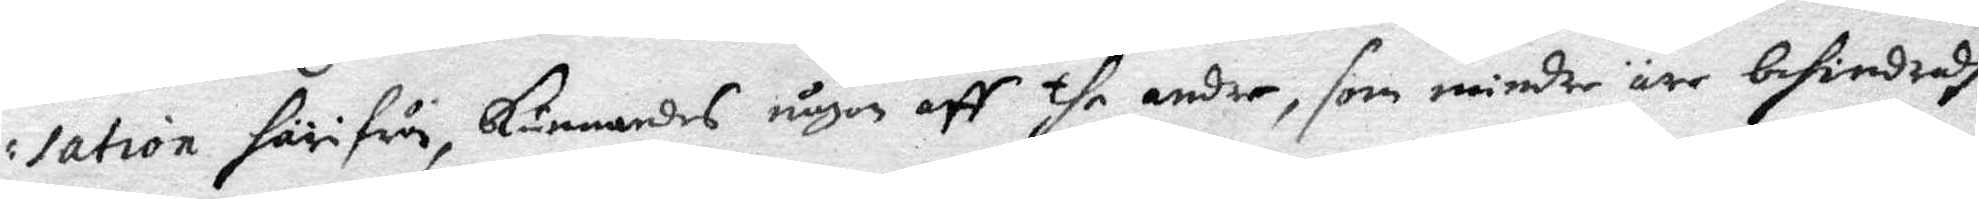sation härifrån, kunnandes någon aff the andre, som mindre äre behindradte
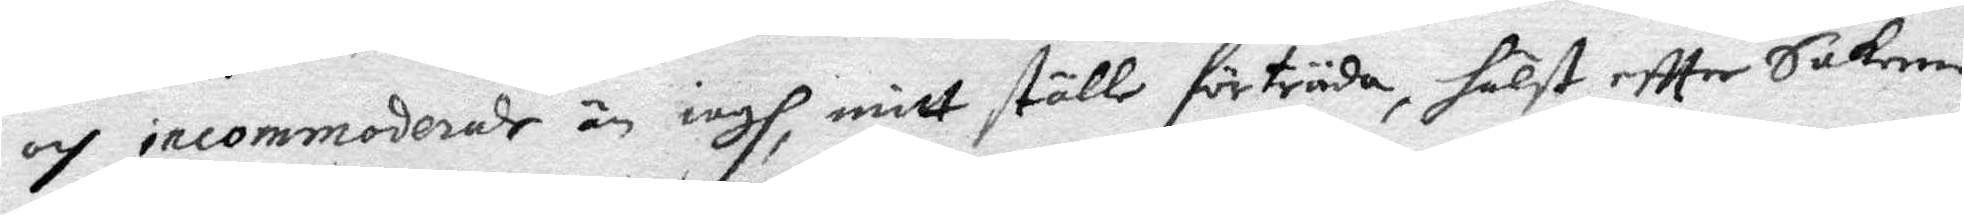och incommoderade än iagh, mitt ställe förträda, hälst effter Sakerna
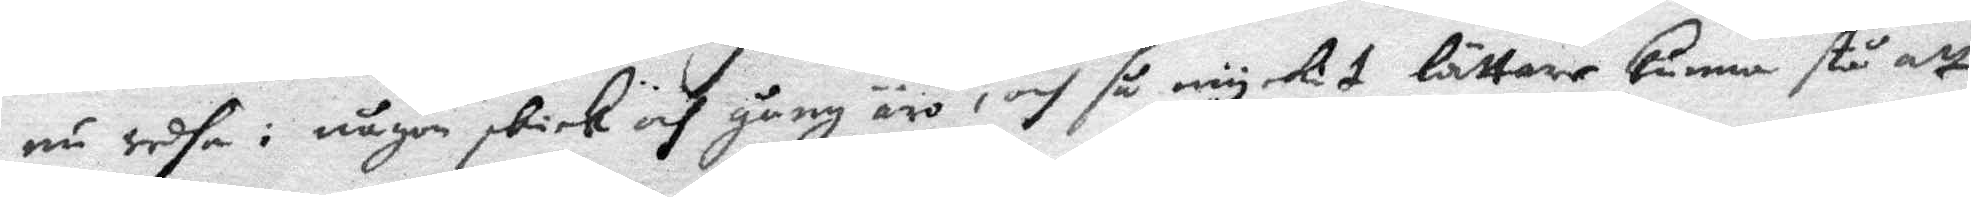nu sedha i någon skick och gång äro, och så myckit lättare kunna stå att
